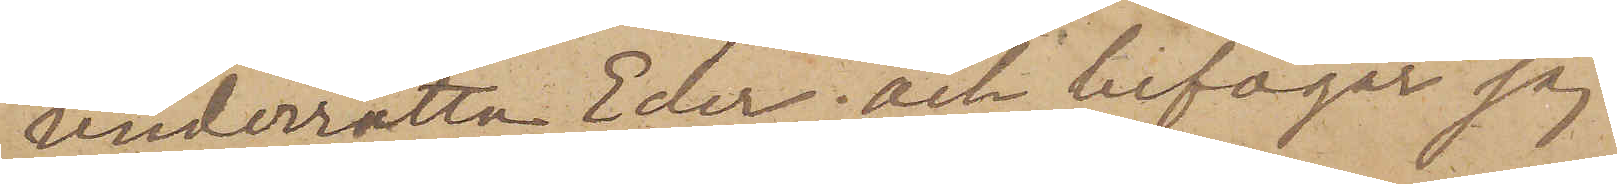underrätta Eder; och bifogar jag
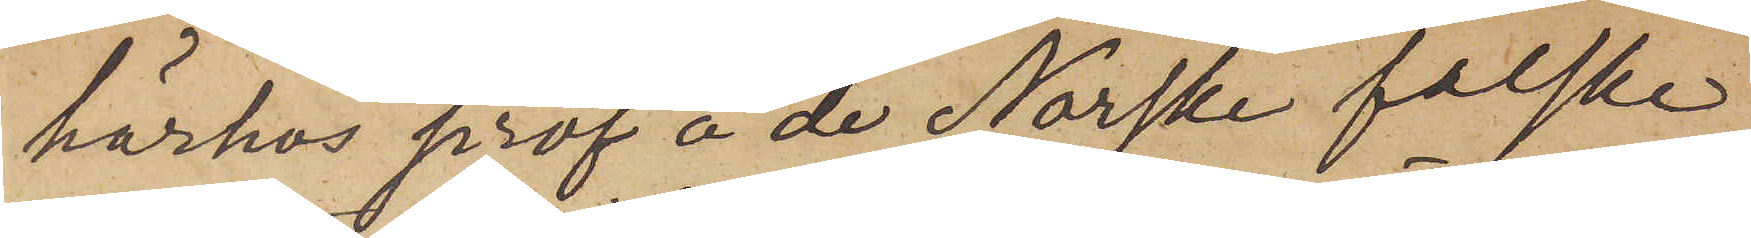härhos prof å de Norske falske
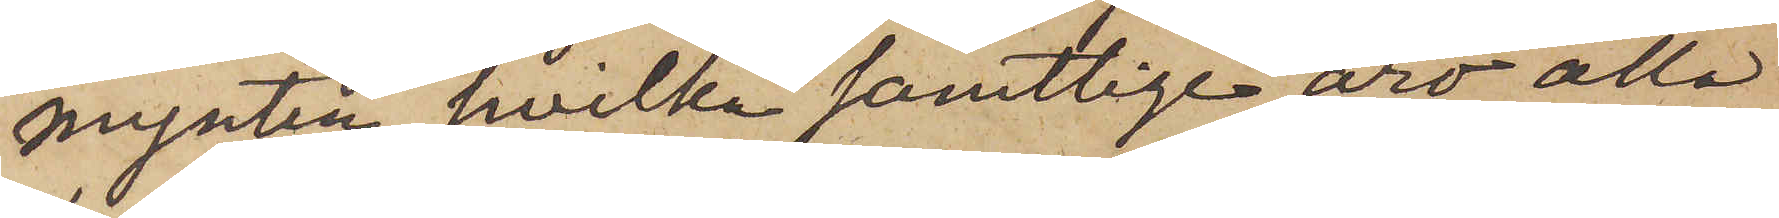mynten, hvilka samtlige äro alla
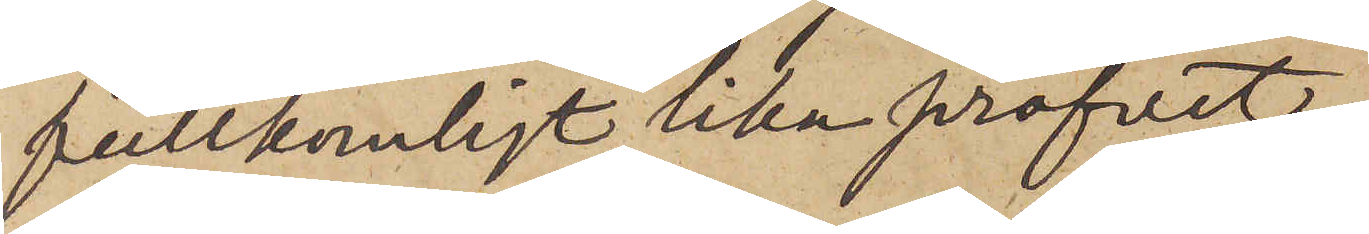fullkomligt lika profvet.
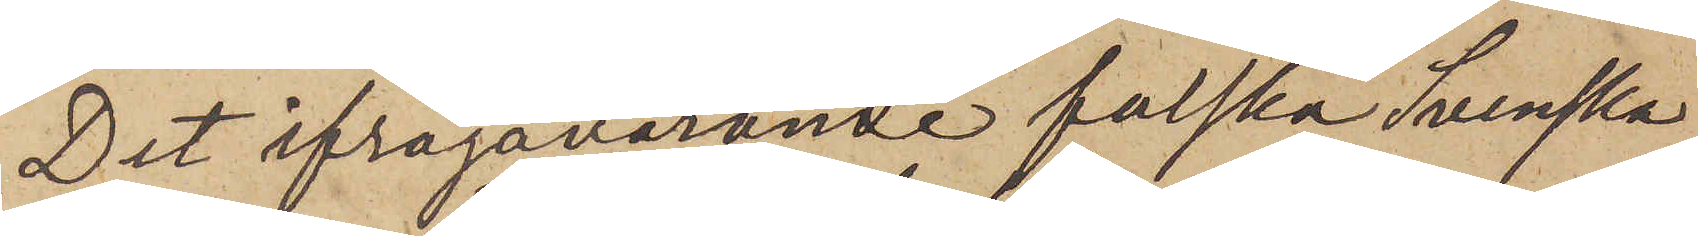Det ifrågavarande falska Svenska
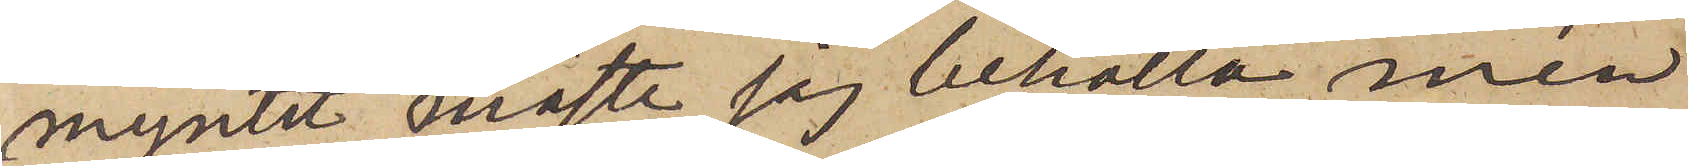myntet måste jag behålla men
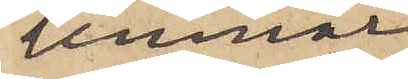lemnar
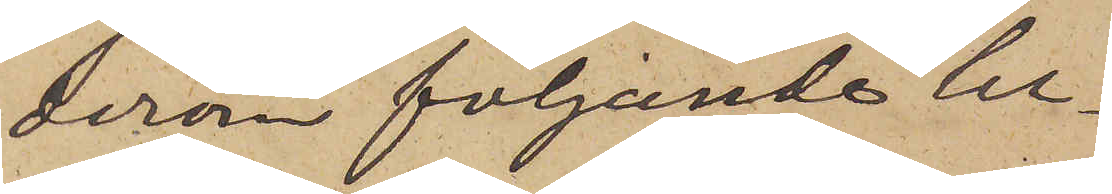derom följande be¬
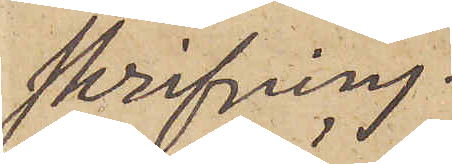skrifning.
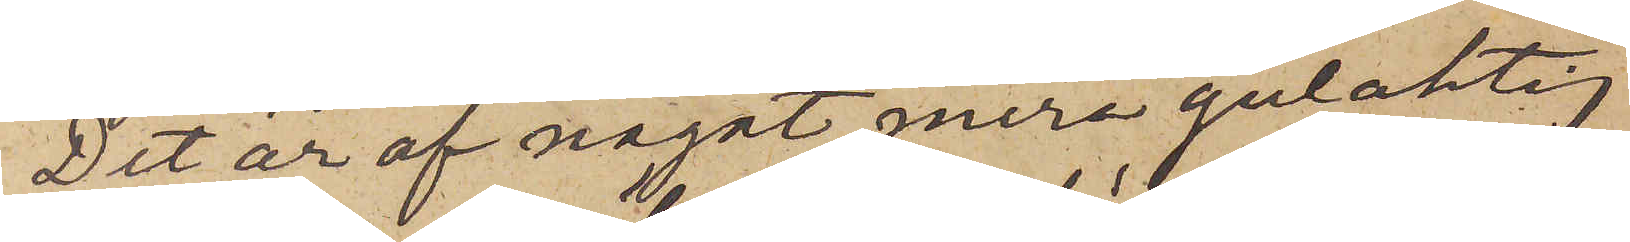Det är af något mera gulaktig
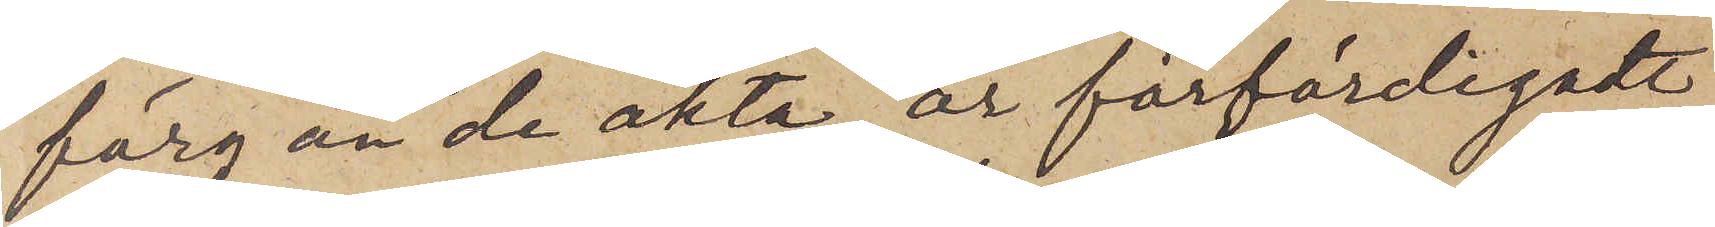färg än de äkta, är förfärdigadt
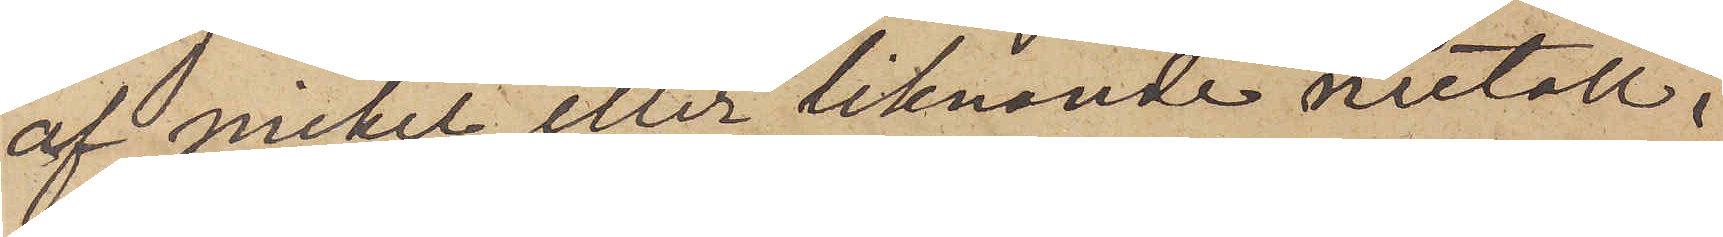af nickel eller liknande metall,
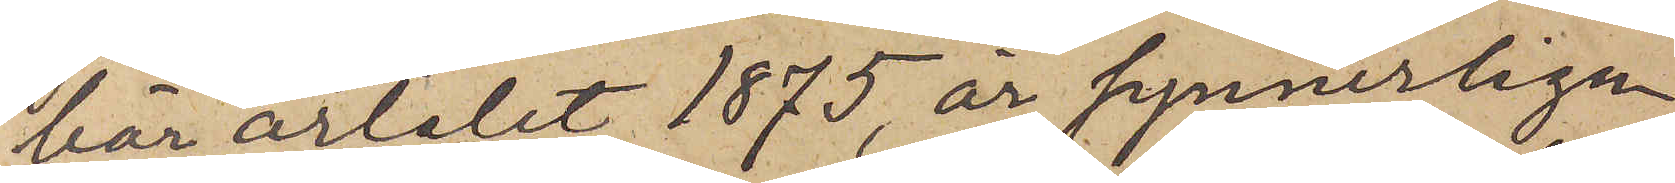bär årtalet 1875, är synnerligen
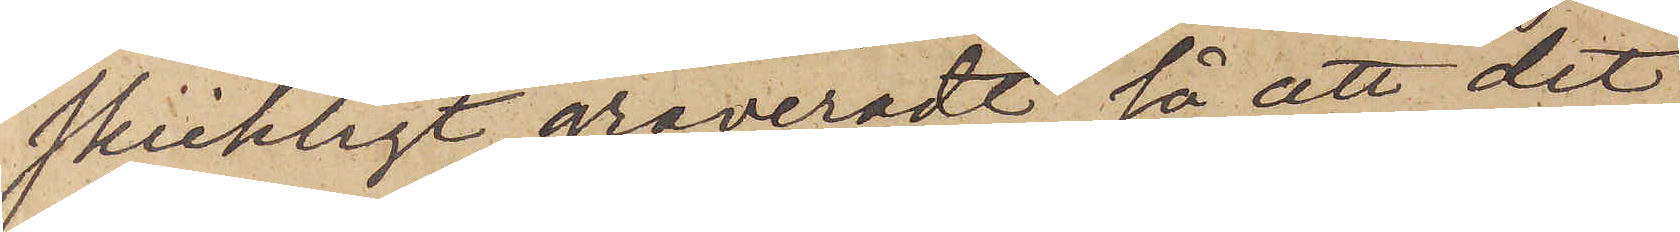skickligt graveradt, så att det
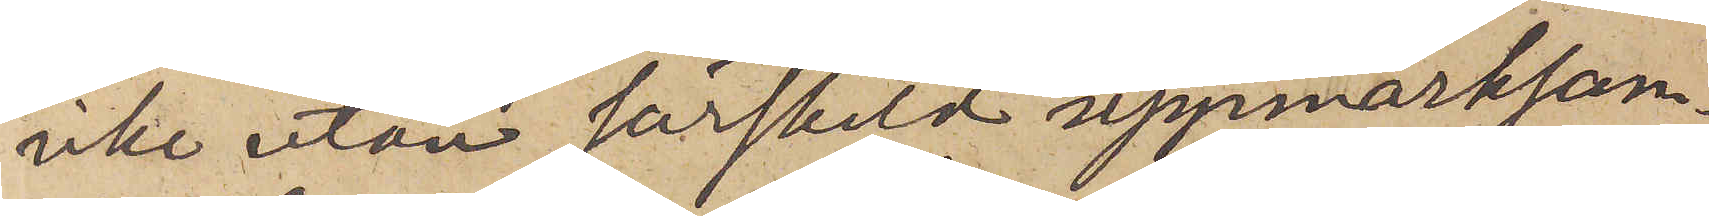icke utan särskild uppmärksam¬
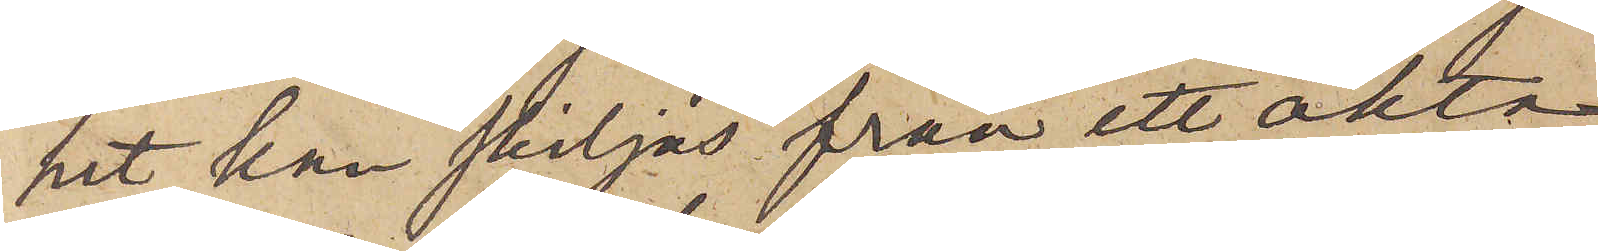het kan skiljas från ett äkta
